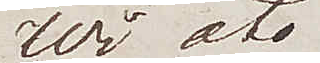Wi åto
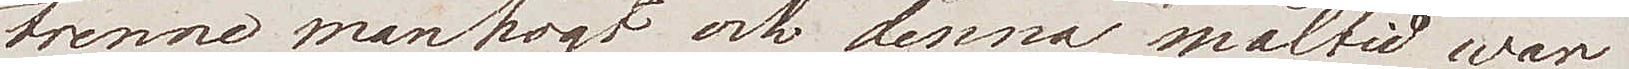trenne manhögt, och denna måltid war
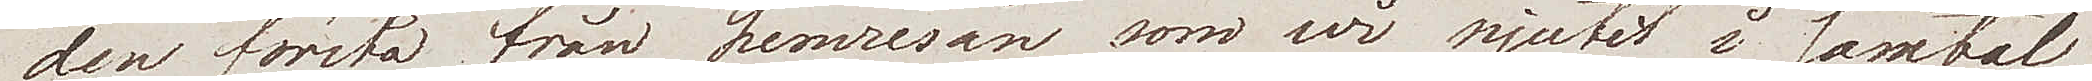den första från hemresan som wi njutit i samtal
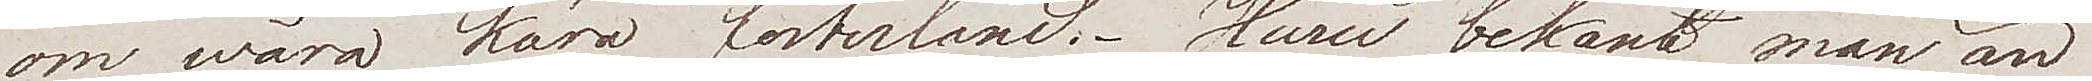om wåra kära fosterland. Huru bekant man än
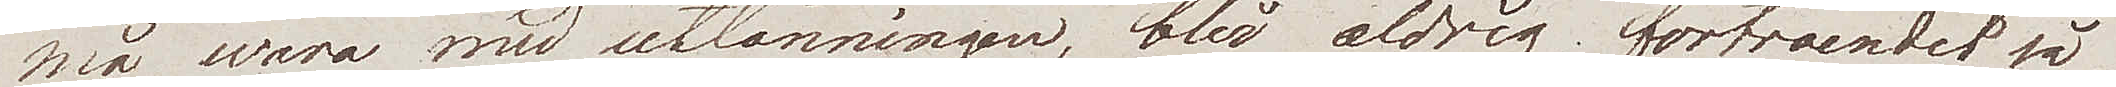må wara med utlänningen, bli aldrig förtroendet så
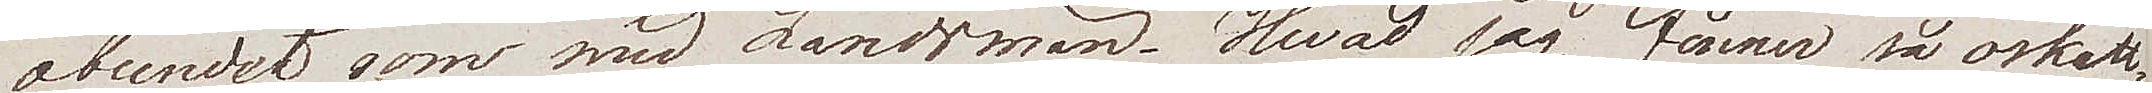obundet som med Landsmän. Hvad jag finner så oskatt¬
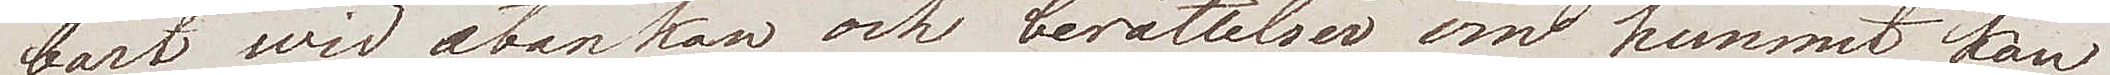bart wid åtankan och berättelser om hemmet, kan
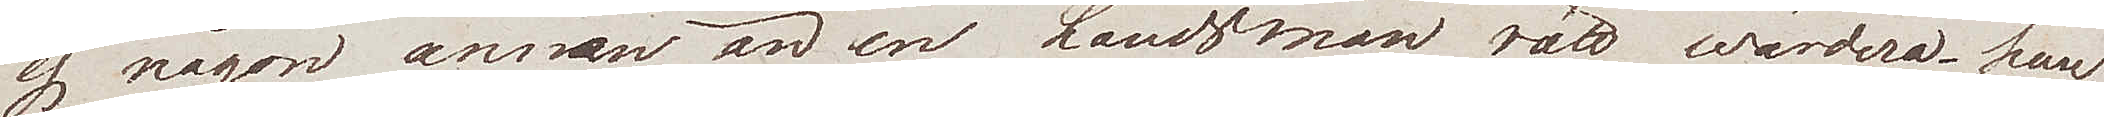ej någon annan än en Landsman rätt wärdera. han
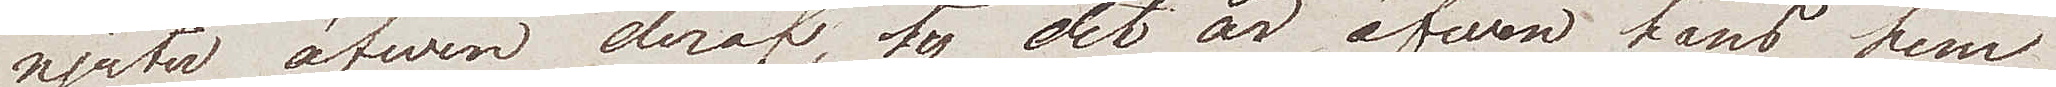njuta äfwen deraf, ty det är äfwen hans hem
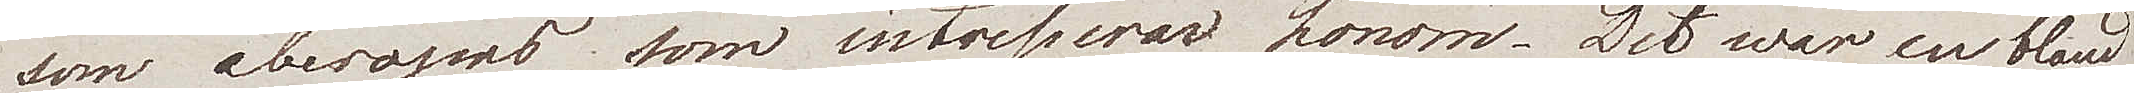som åberopas som intresserar honom. Det war en bland
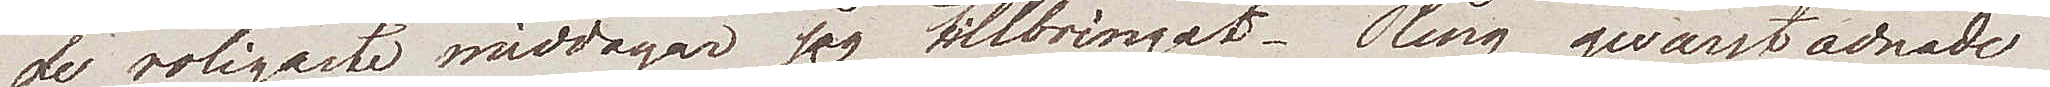de roligaste middagar jag tillbringat. Ring qwarstadnade
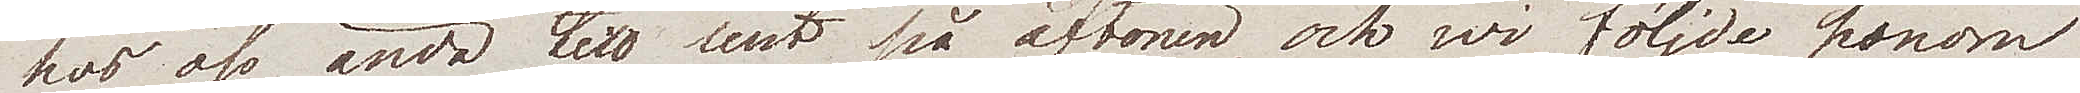hos oss ända till sent på aftonen, och wi följde honom
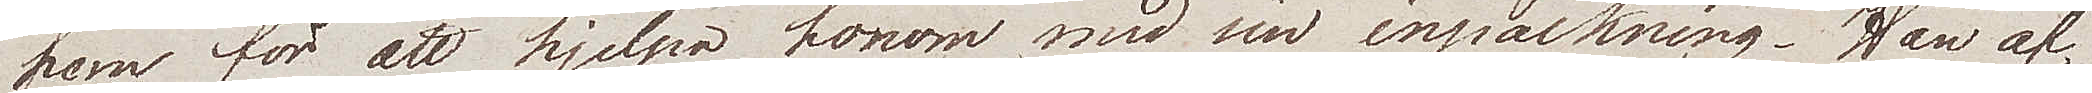hem för att hjelpa honom med sin inpackning. Han af¬
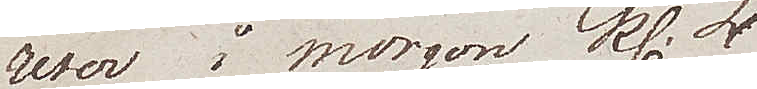reser imorgon kl. 4
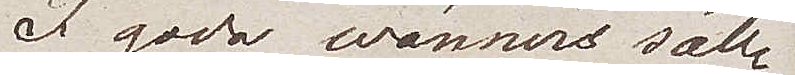I goda vänners säll¬
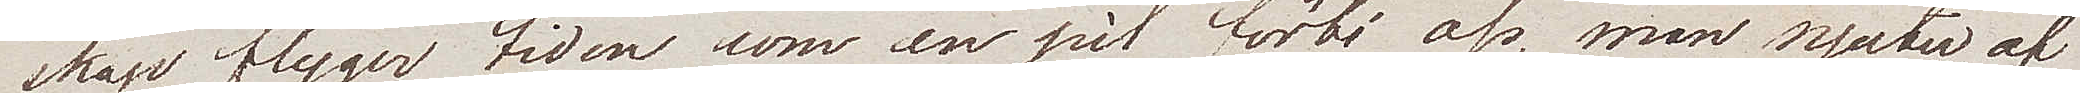skap flyger tiden som en pil förbi oss, man njuter af
